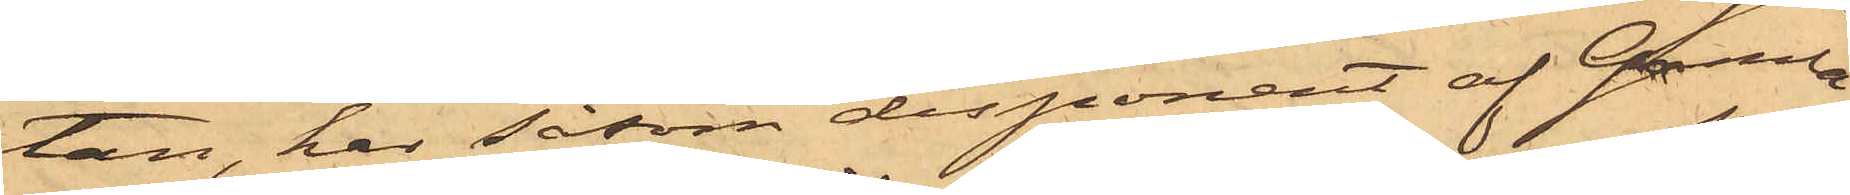tan, har såsom disponent af Gamla
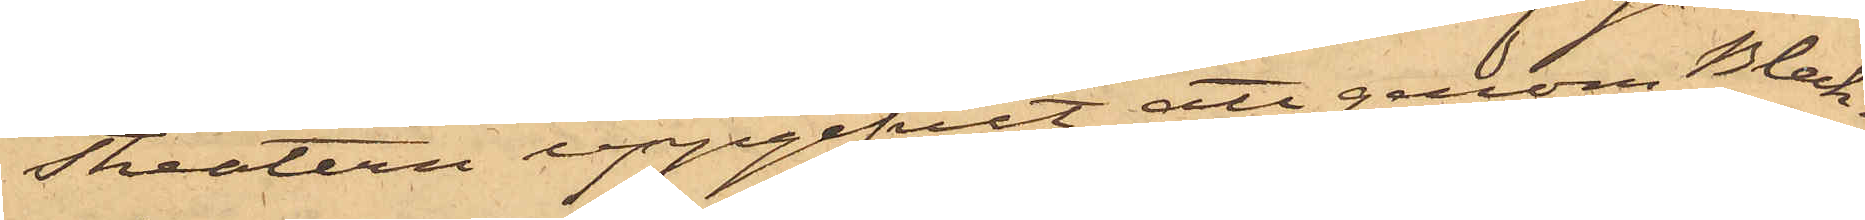Theatern uppgifvit att genom Bleck¬
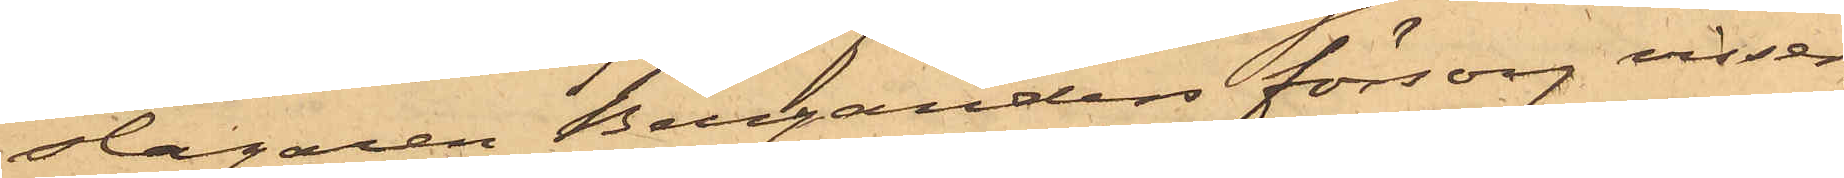slagaren Berganders försorg visser¬
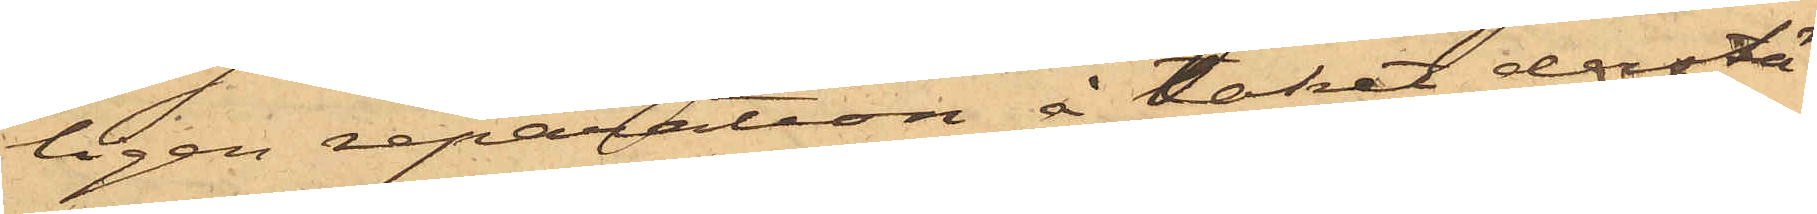ligen reparation å taket derstä¬
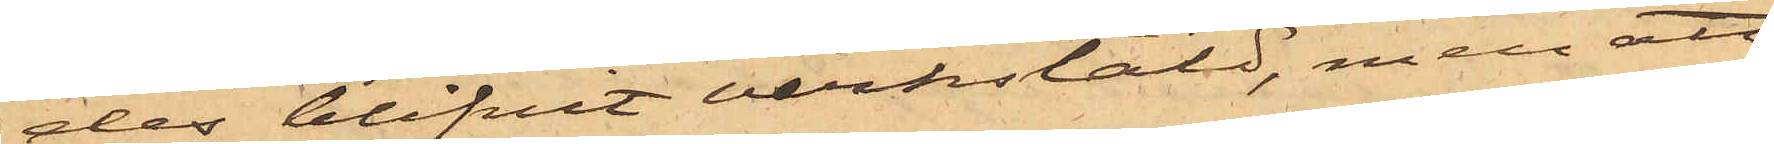des blifvit verkstäld, men att
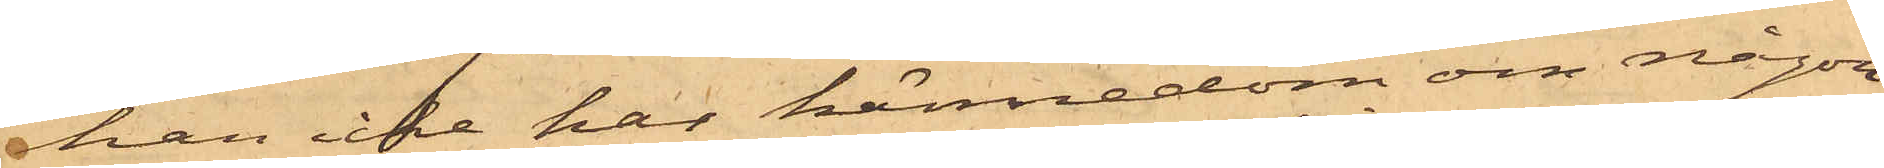han icke har kännedom om någon
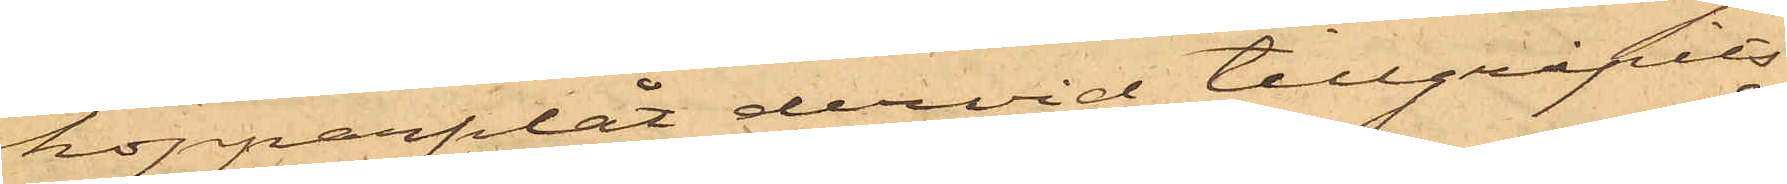kopparplåt dervid tillgripits.
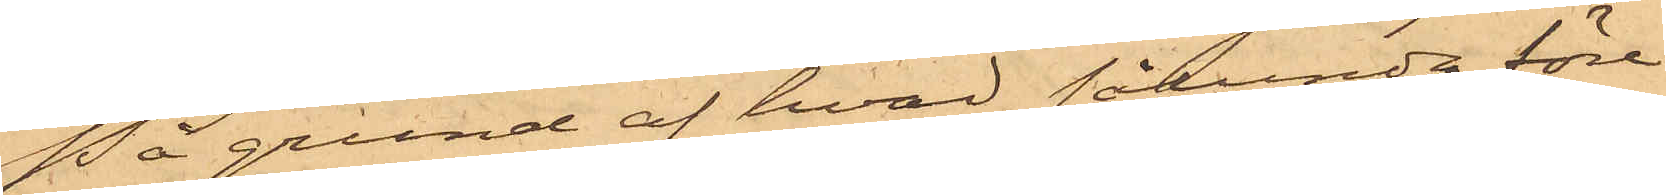På grund af hvad sålunda före¬
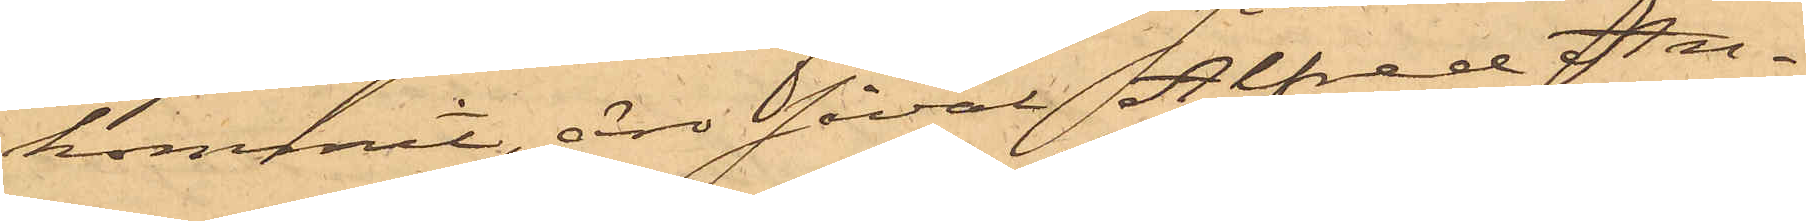kommit, är såväl Alfred An¬
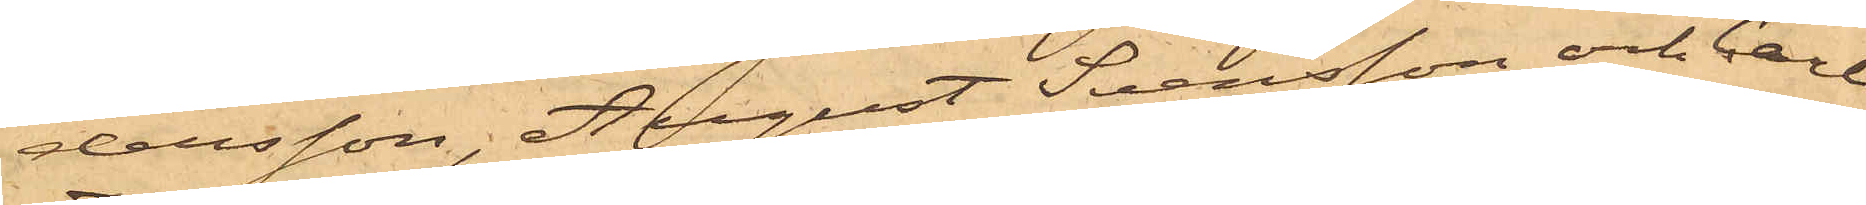dersson, August Svensson och Carl
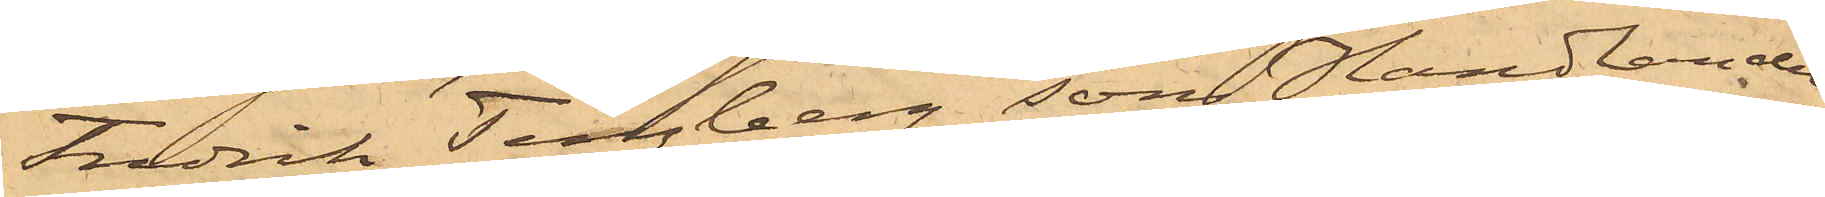Fredrik Tengberg, som Handlanden
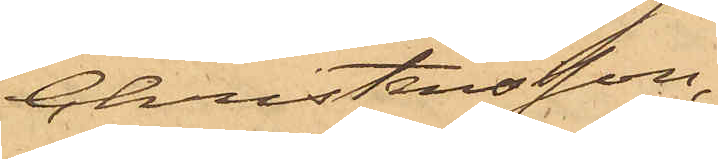Christensson,
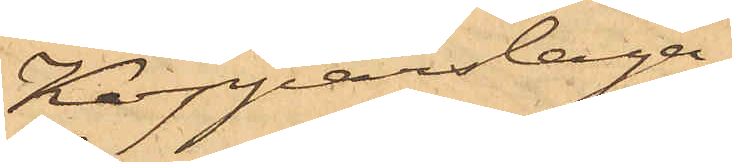Kopparslaga¬
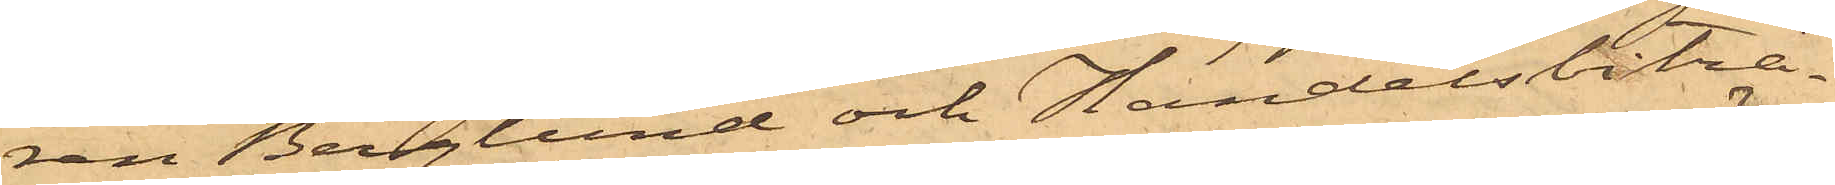ren Berglund och Handelsbiträ¬
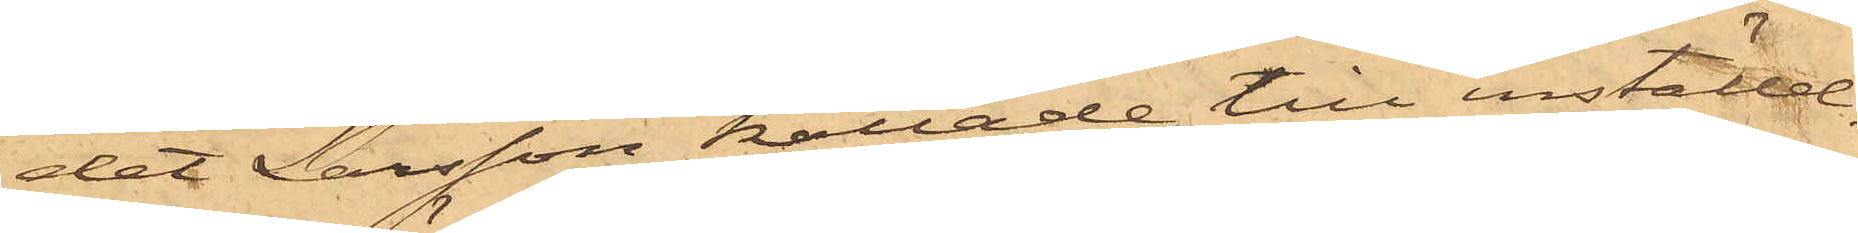det Larsson kallade till inställel¬
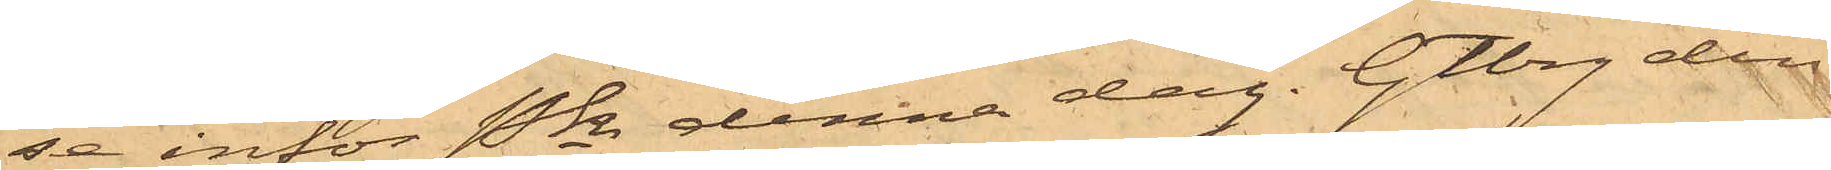se inför Pkn denna dag. Gtbrg den
